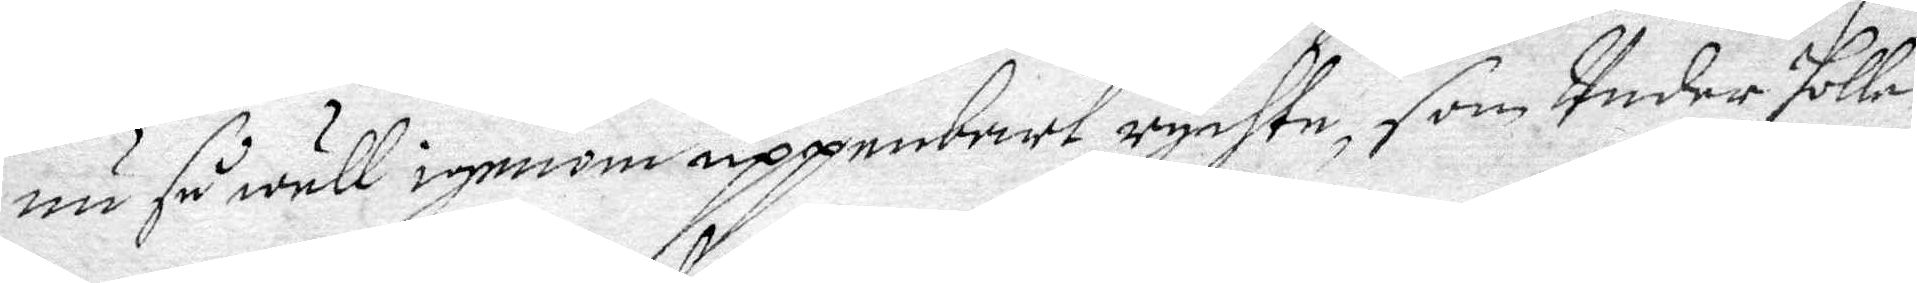nu så well igenom uppenbart rychte, som Under hollen
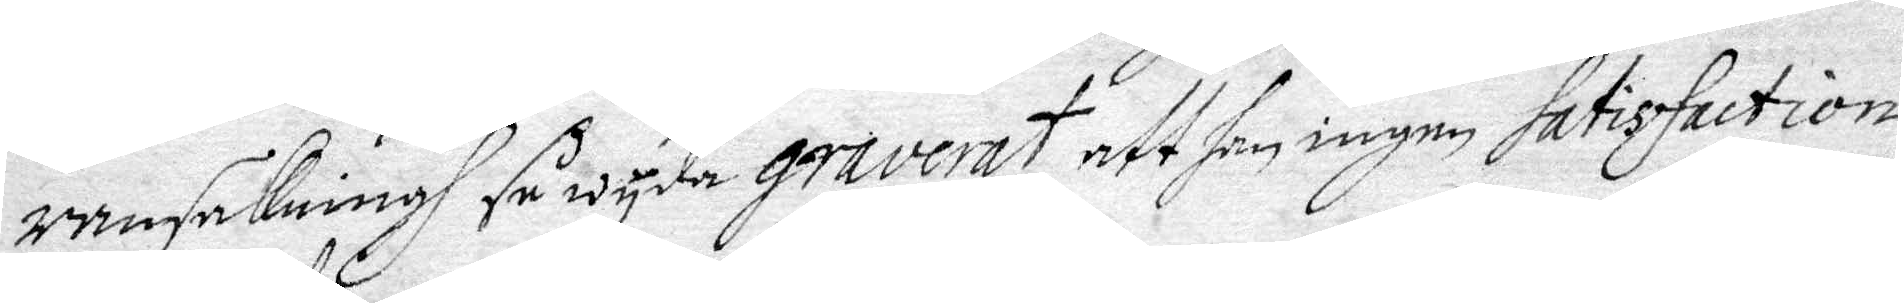ransakningh så wyda graverat, att han ingen satisfaction
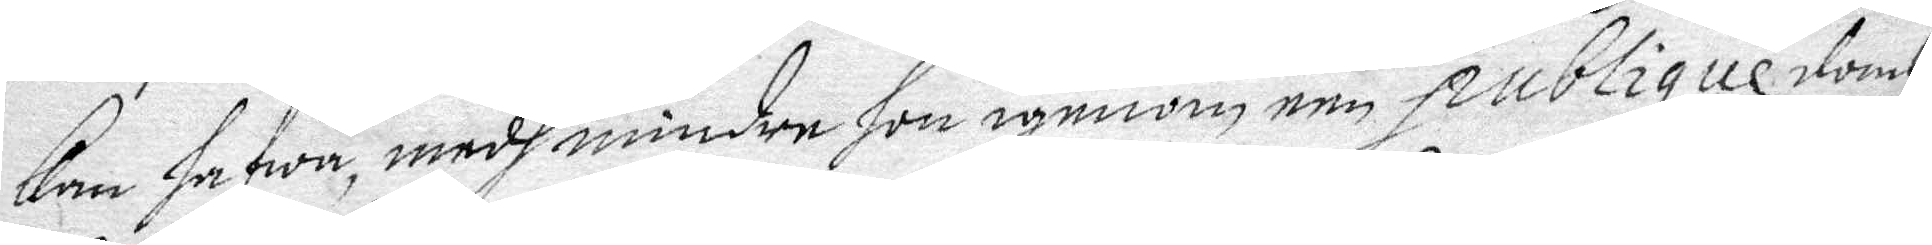kan hafwa, medh mindre hon igenom een publiqne domb
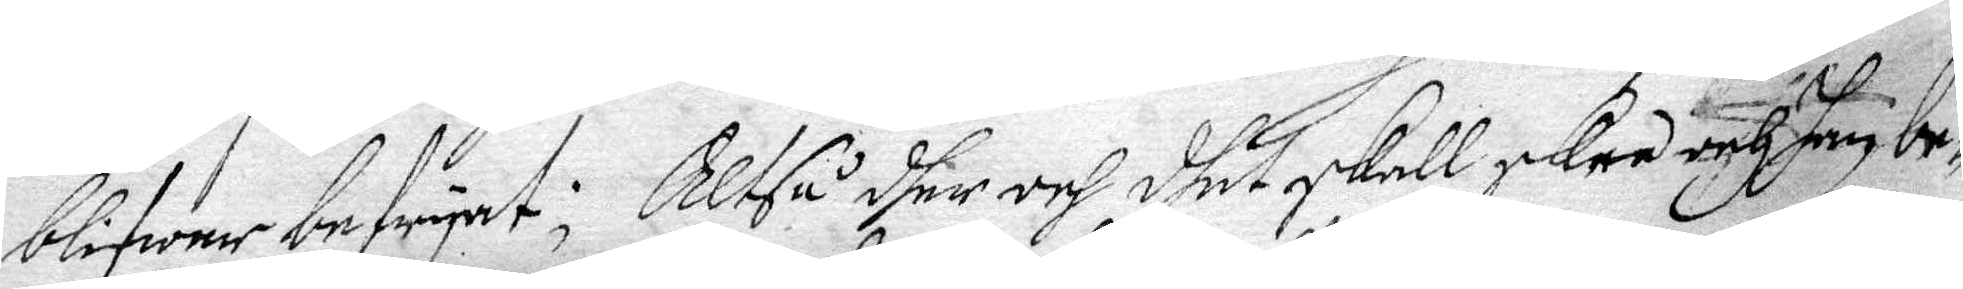blifwer befryat; Altså dher och dhet skall skee och han be¬
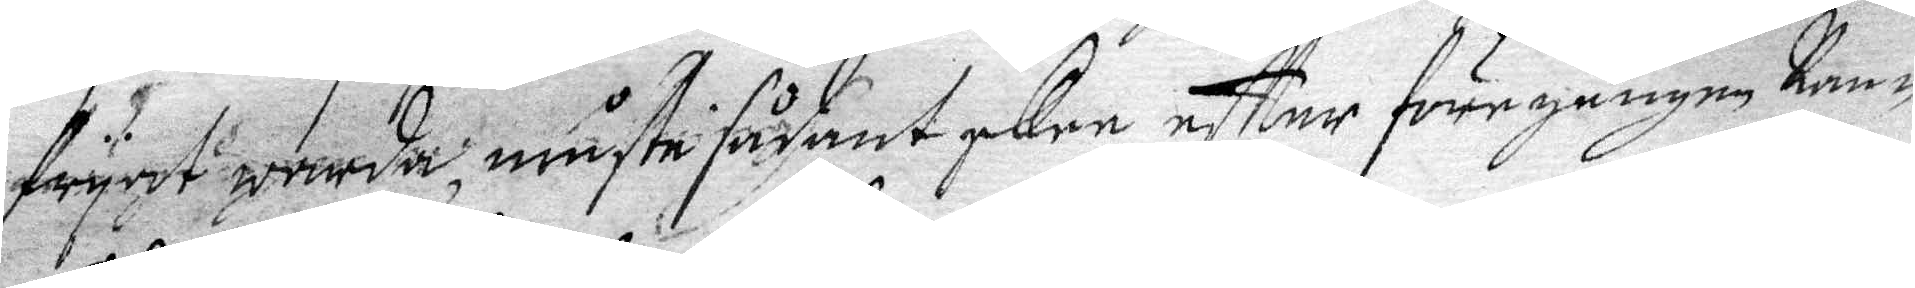fryat, warda, måste sådant skee eftter föregången Ran-
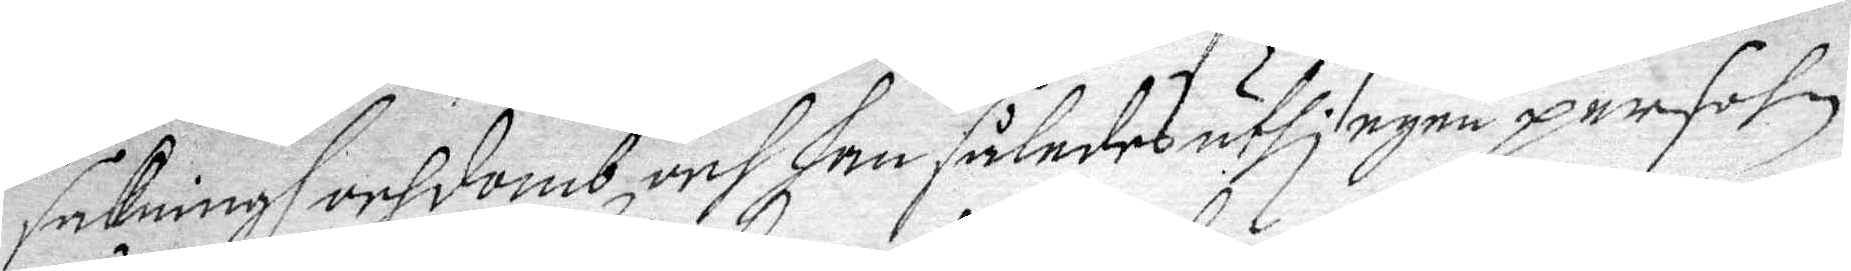sakningh och domb och han således uthi egen persohn
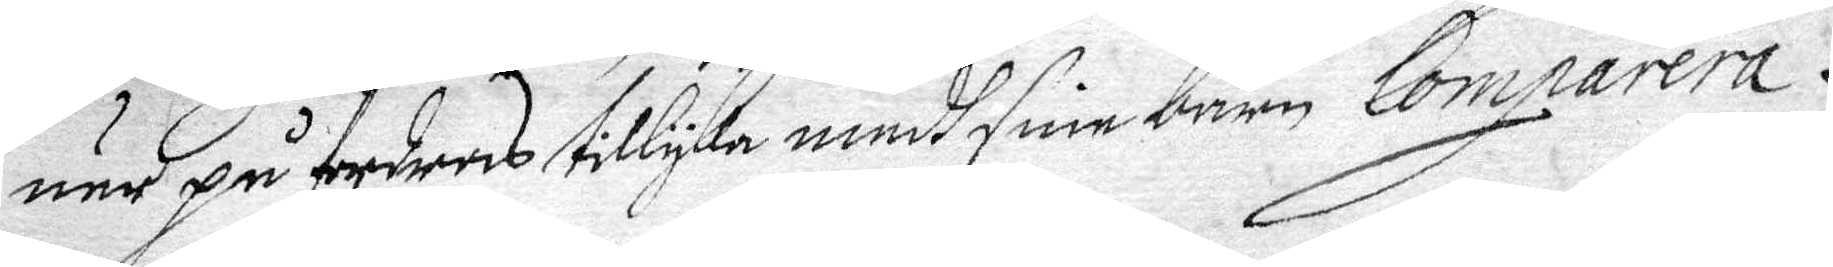när på fordras tillyka medh sine barn Comparera.
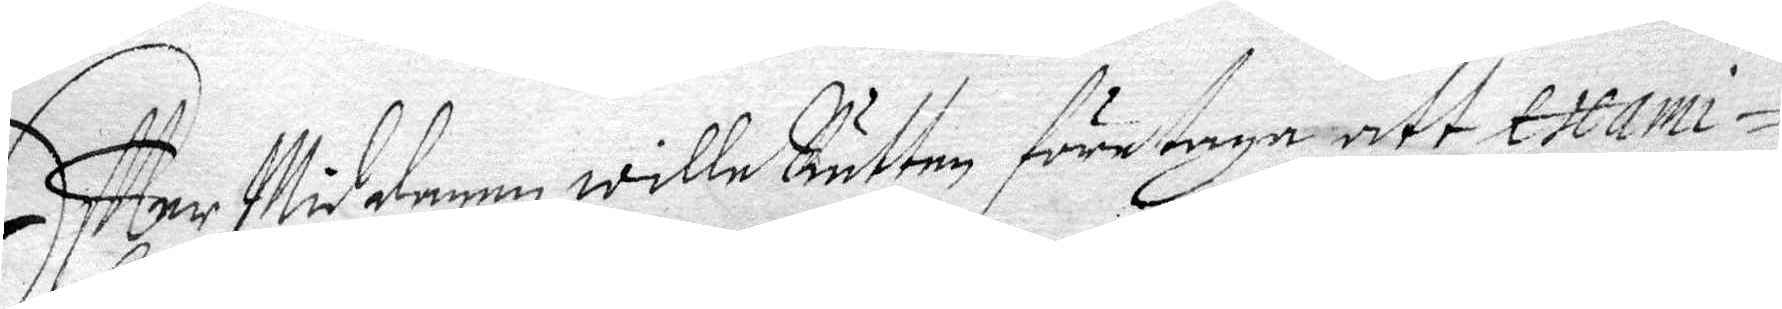Effter Middagen wille Rätten företaga att exami¬
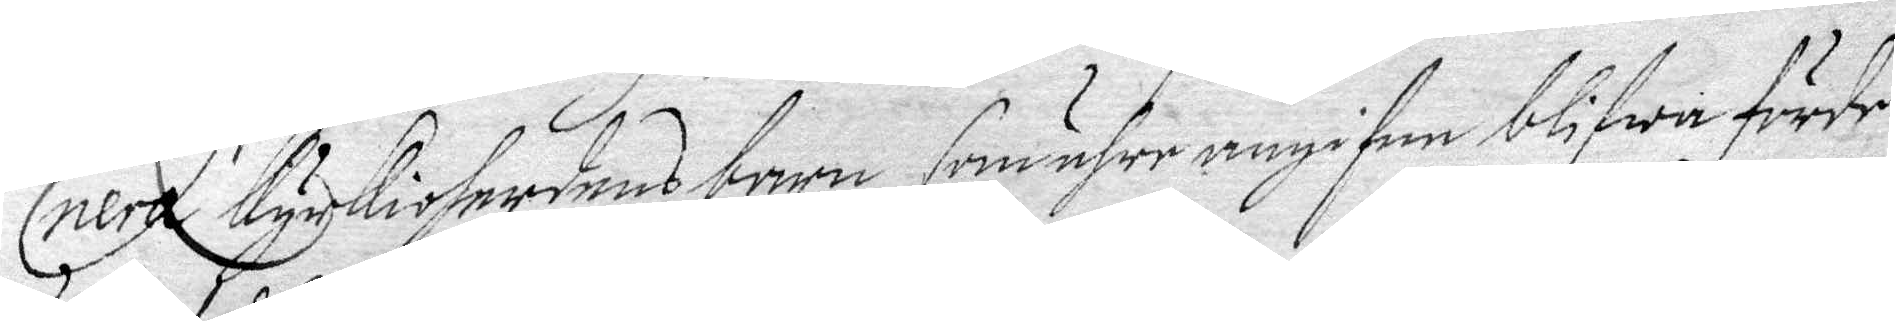nera Kyrkioherdens barn, som ähre angifne blifwa förde
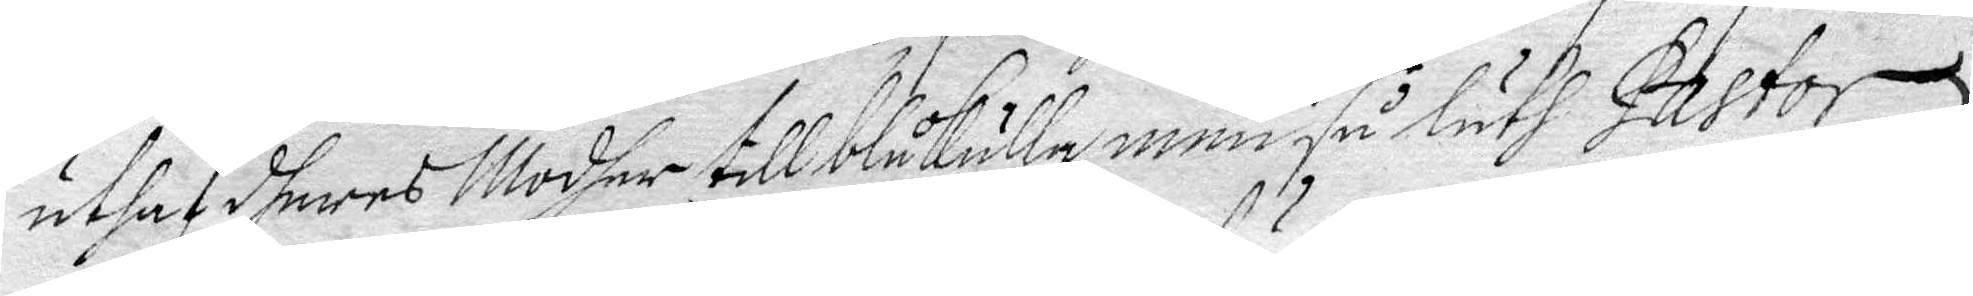uthaf dheras Modher till Blåkulla, men så läth Pastor
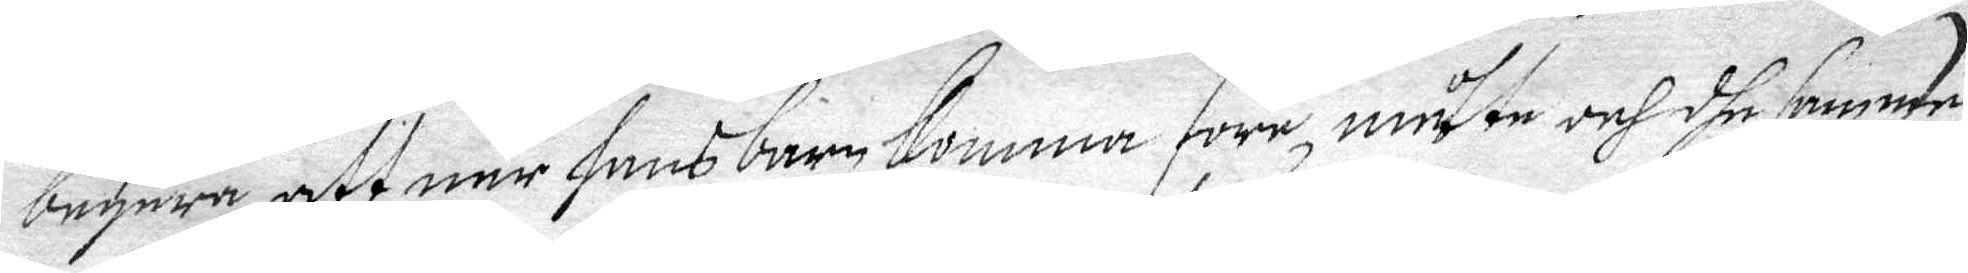begära, att när hans barn komma före, måtte och dhe samme
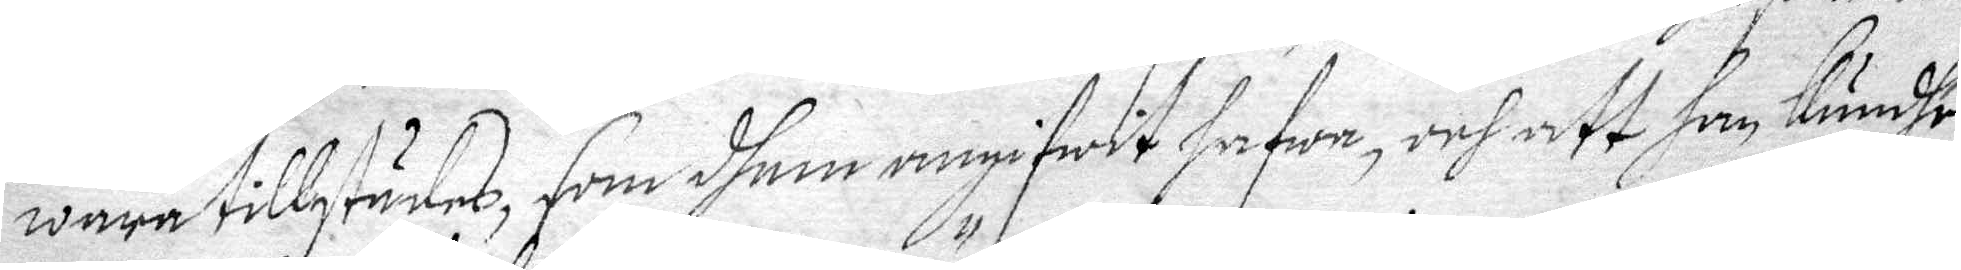wara tillstädes, som dhem angifwit hafwa, och att han Kundhe
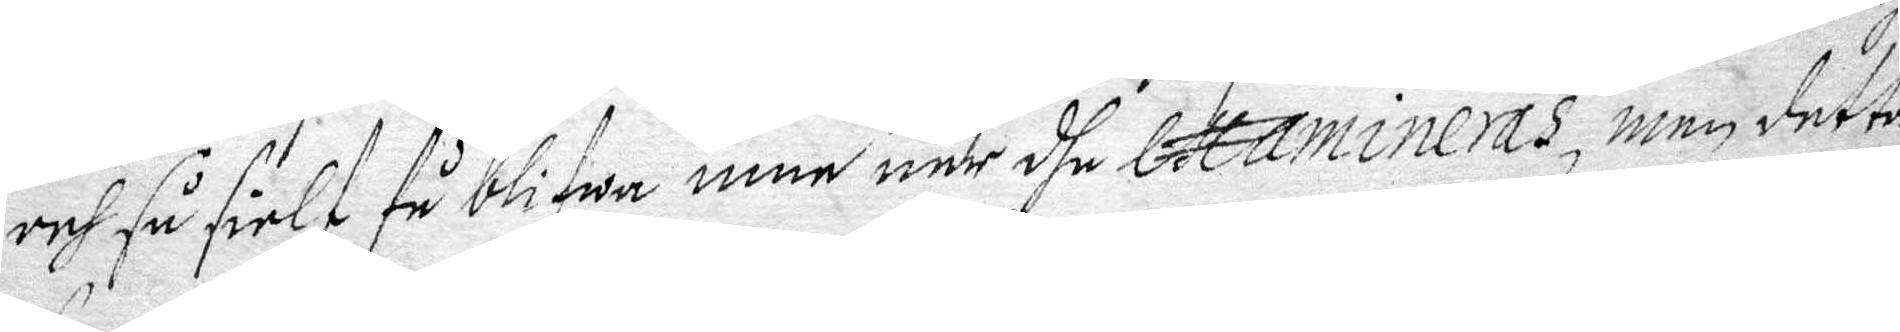och så sielf få blifwa inne när dhe examineras, men detta
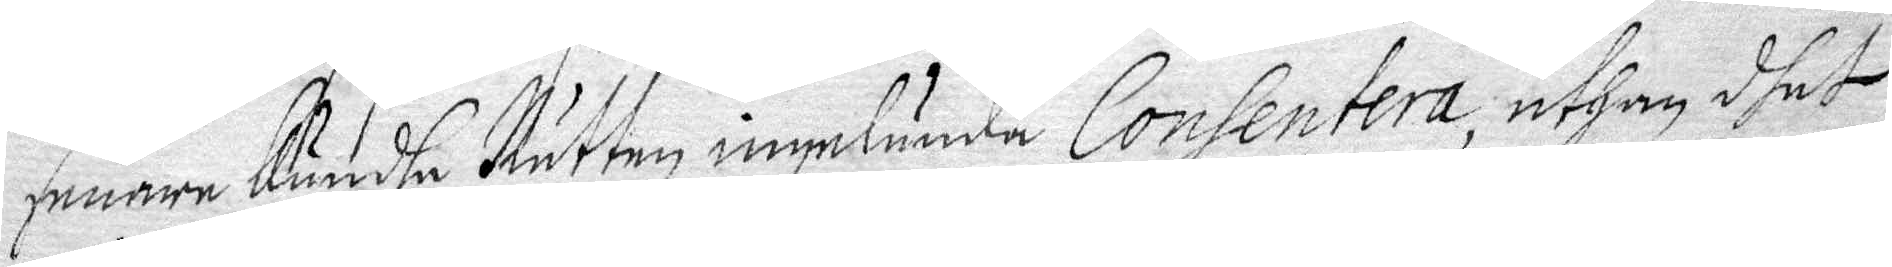senare Kundhe Rätten ingalunda Consentera, uthan dhet
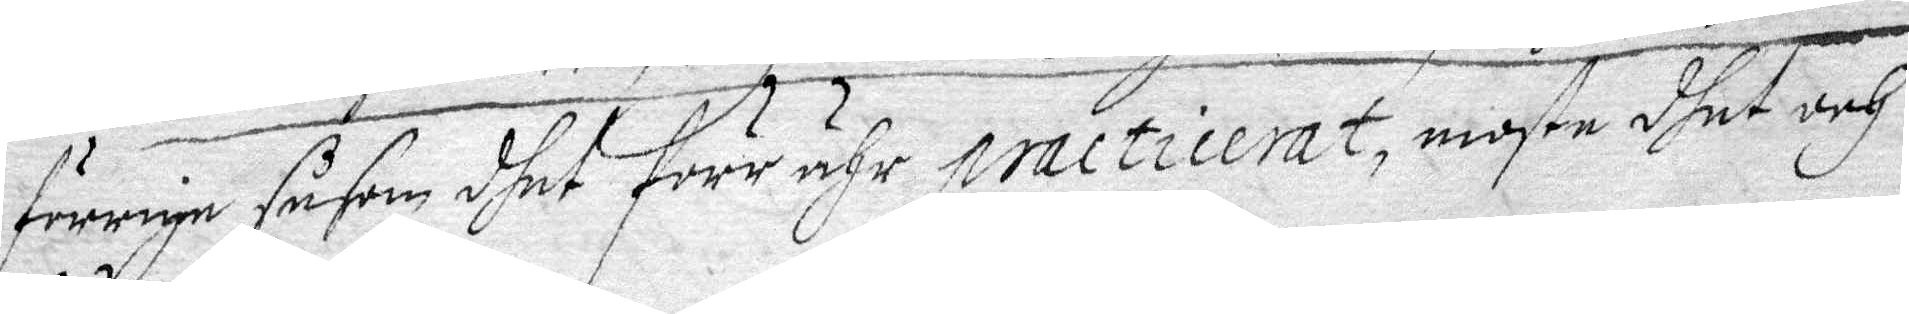förnige såsom dhet förr ähr practicerat, moste dhet och
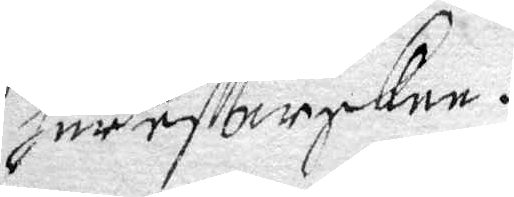häreftterskee.
